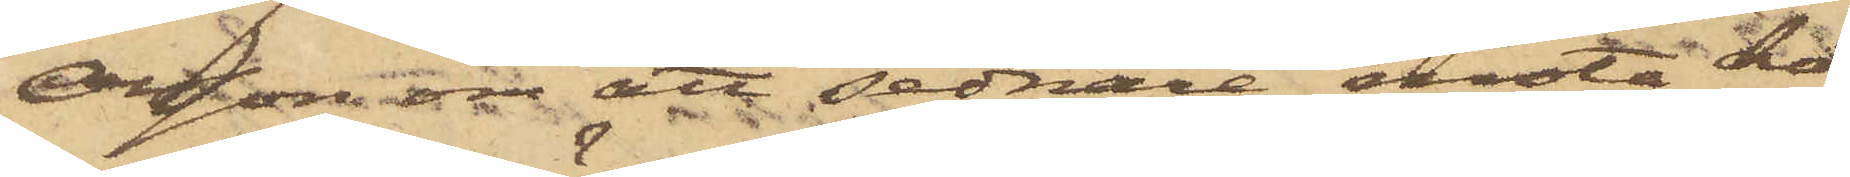Olsson om att sednare möta ho¬
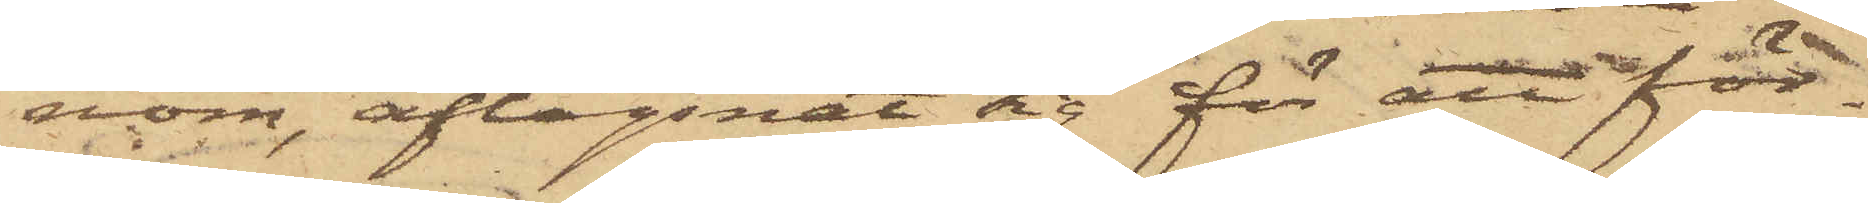nom, aflägsnat sig för att för¬
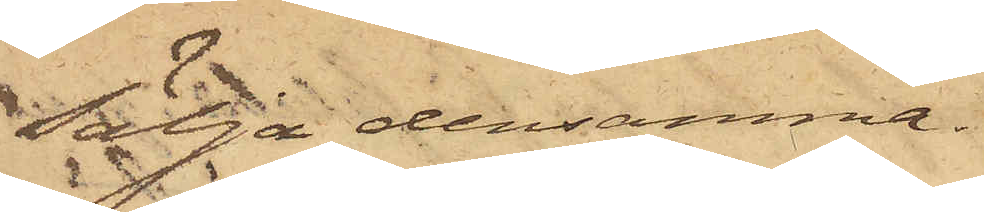sälja densamma.
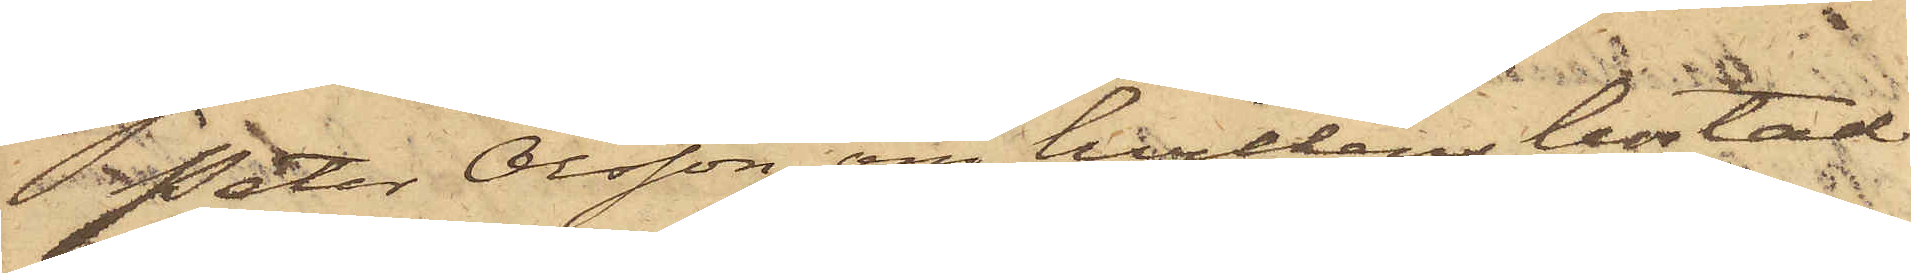Peter Olsson, om hvilkens bostad
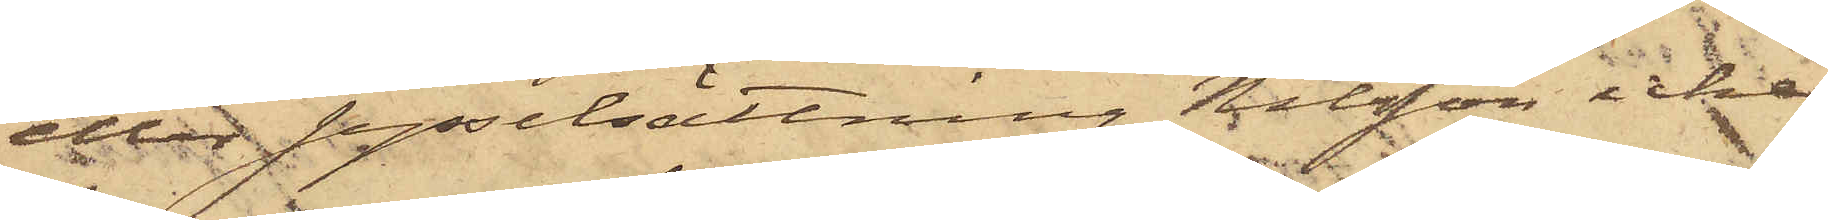eller sysselsättning Nilsson icke
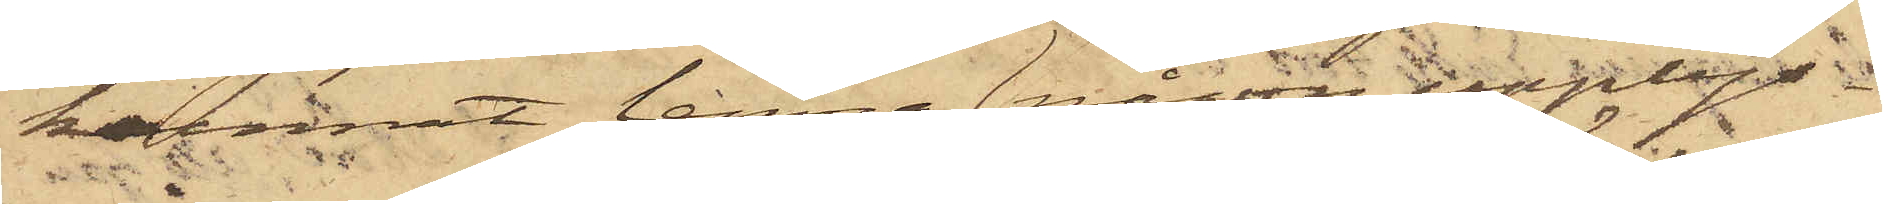kunnat lämna någon upplys¬
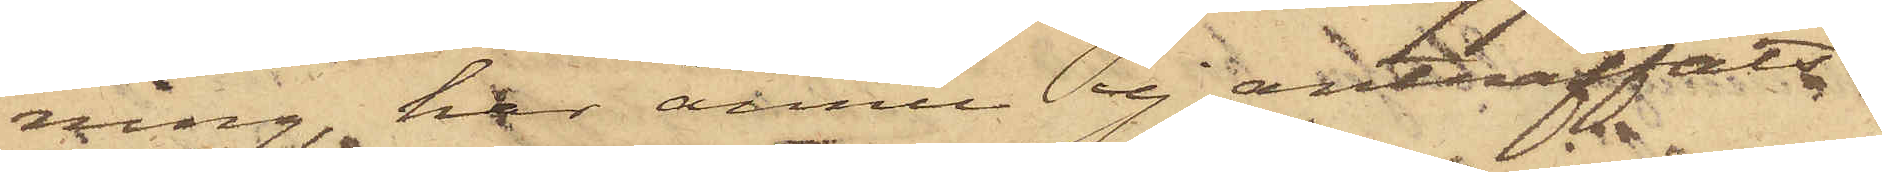ning, har ännu ej anträffats.
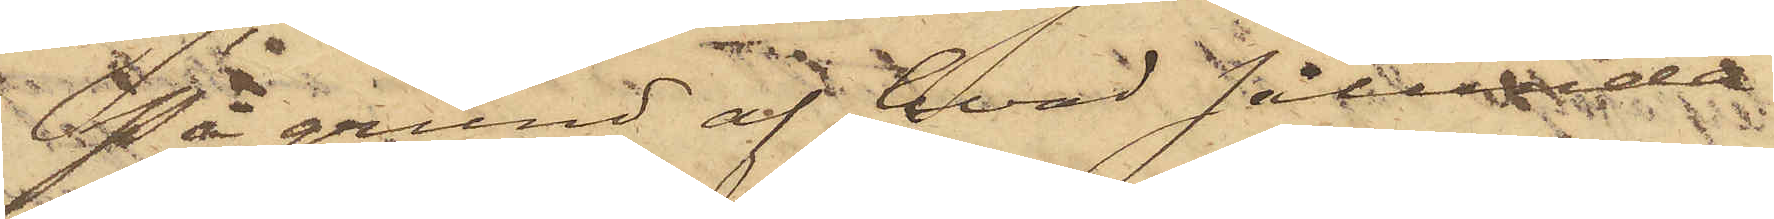På grund af hvad sålunda
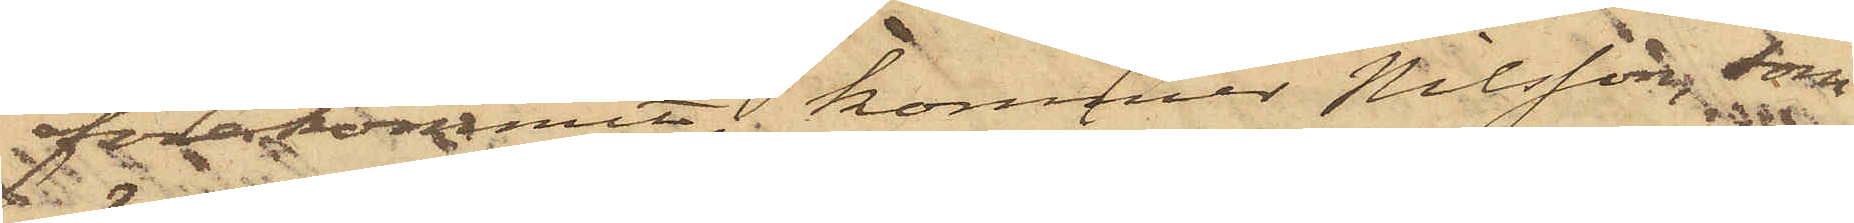förekommit, kommer Nilsson, som
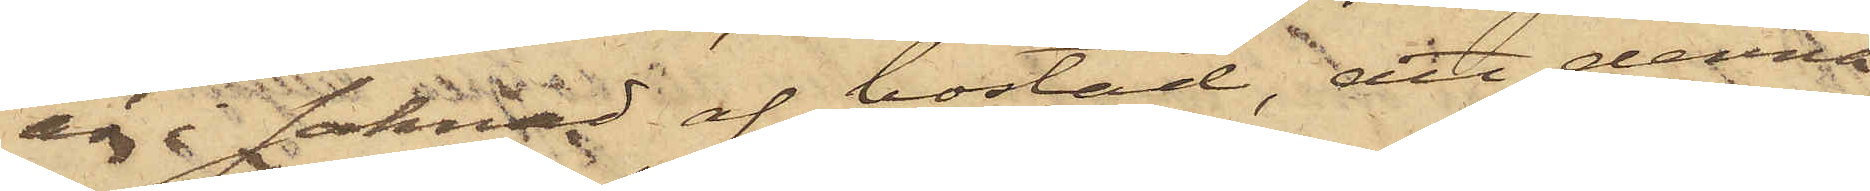är i saknad af bostad, att denna
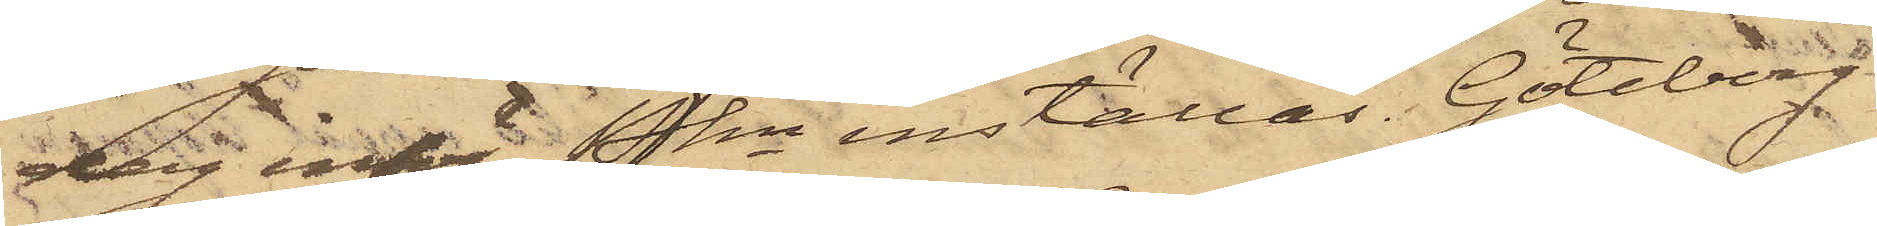dag inför PKn inställas. Göteborg
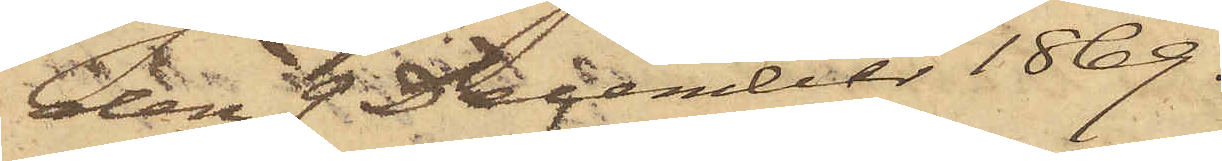den 9 December 1869.
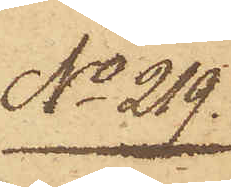No 219.
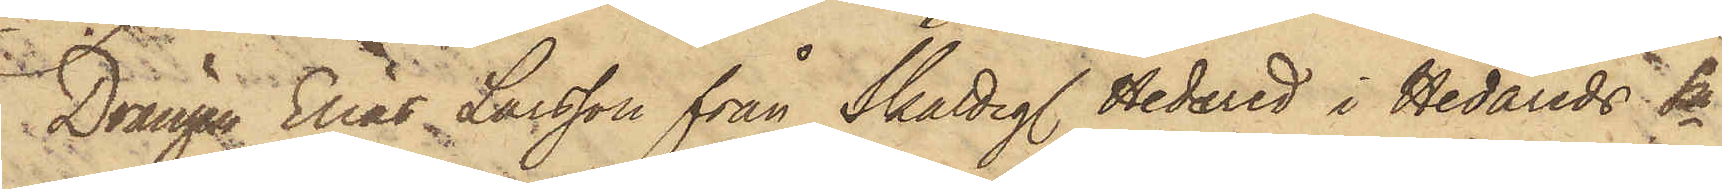Drängen Elias Larsson från Skatteg. Hedared i Hedareds Sn
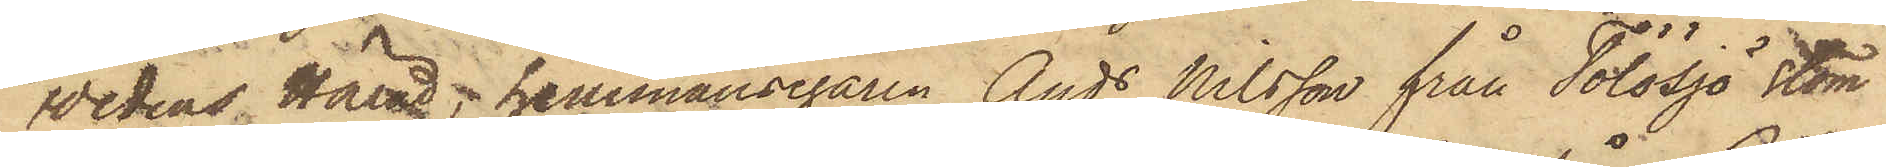Wedens Härad; hemmansegaren Ands Nilsson från Tölösjö stom
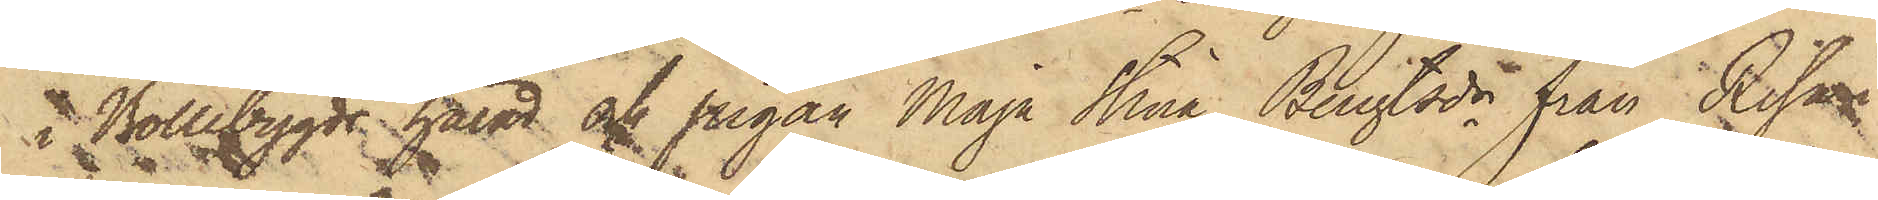i Bollebygds härad och pigan Maja Stina Bengtsdr från Risa i
